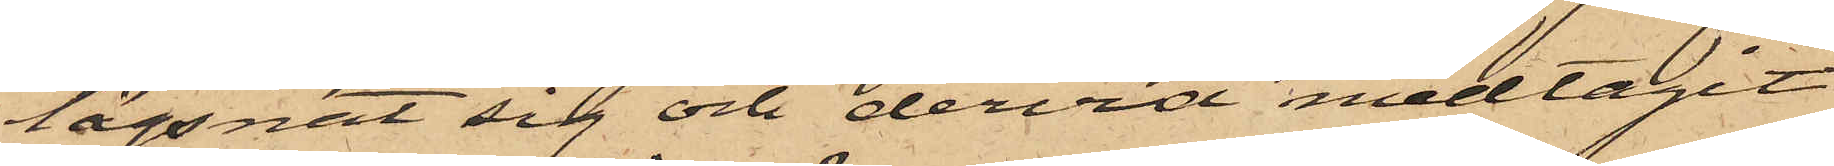lägsnat sig och dervid medtagit
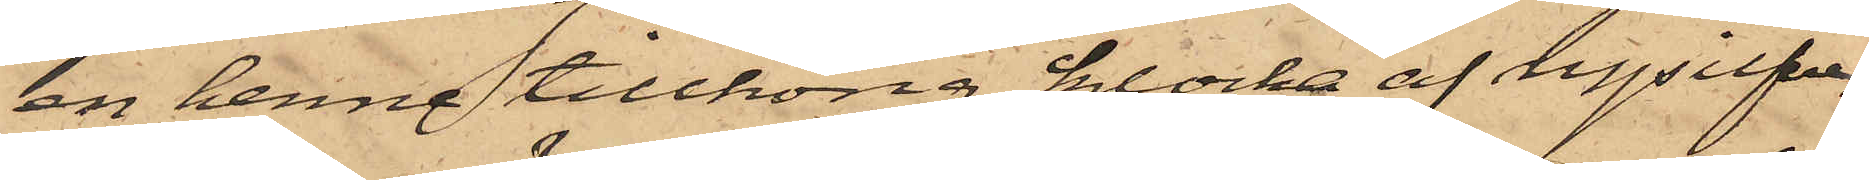en henne tillhörig klocka af nysilfver
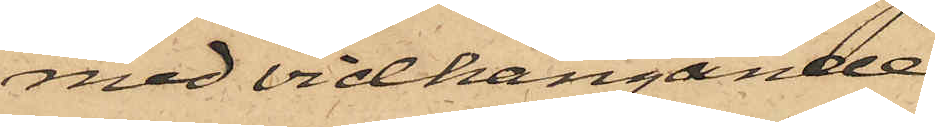med vidhängande
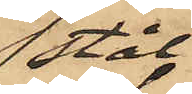stål¬
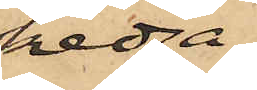kedja
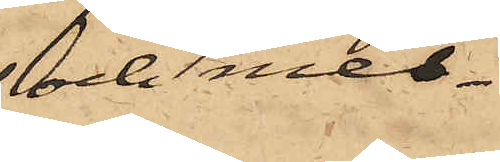och mes¬
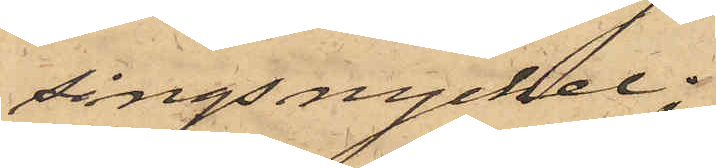singsnyckel.
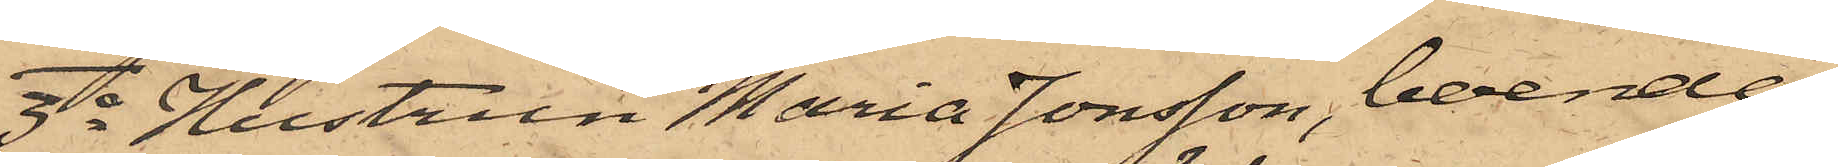3o Hustrun Maria Jonsson, boende
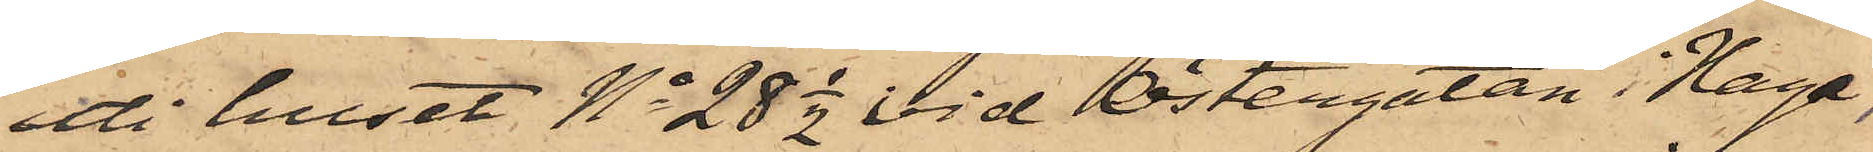uti huset No 28 1/2 vid Östergatan i Haga,
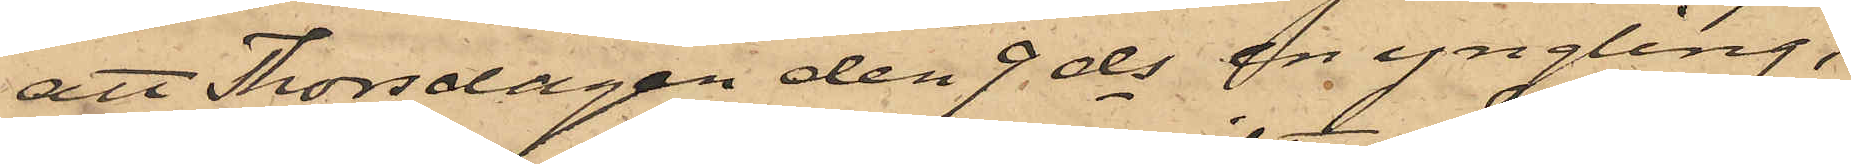att Thorsdagen den 9 ds en yngling,
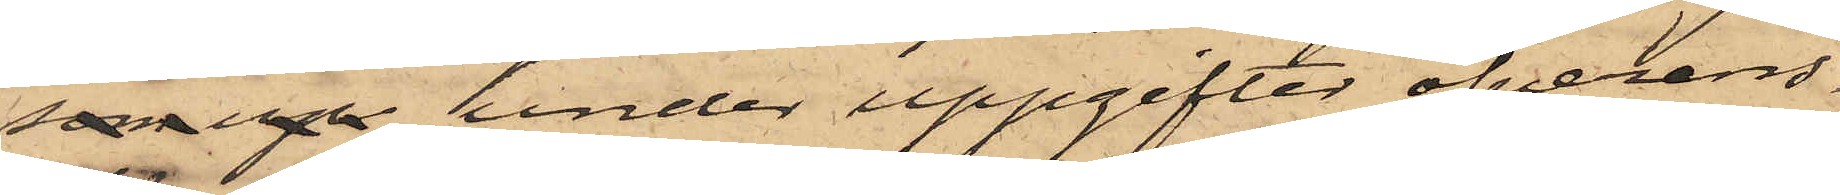som up under uppgifter öfverens¬
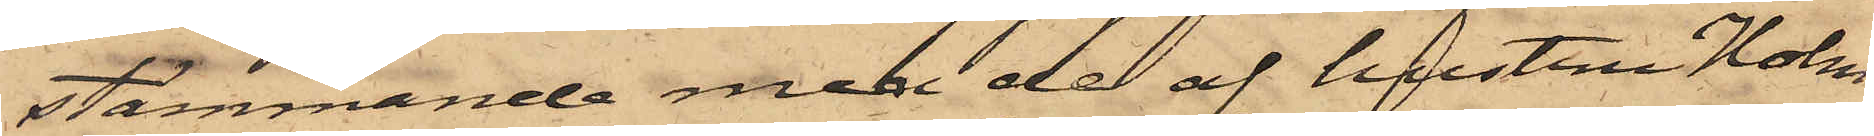stämmande med de af hustru Holm¬
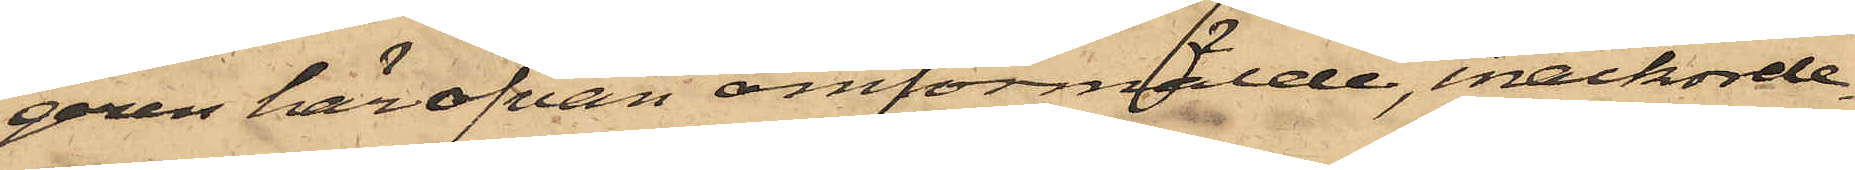gren här ofvan omförmälde, inackorde¬
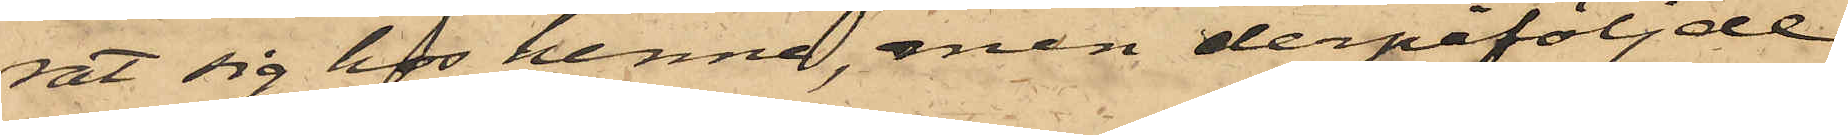rat sig hos henne, men derpåföljde
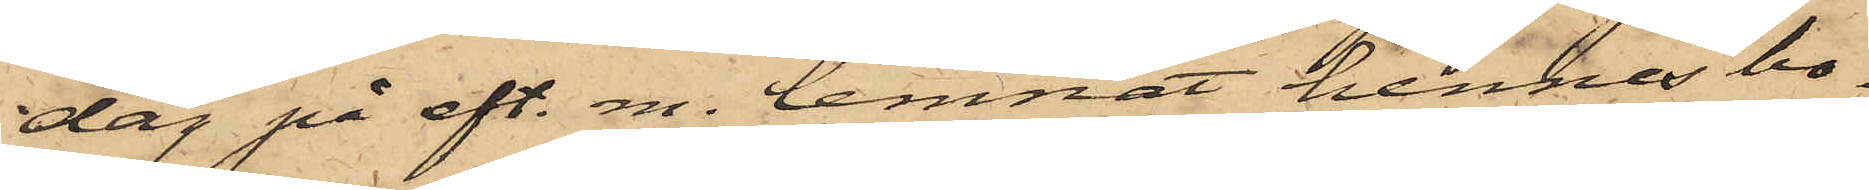dag på eft. m. lemnat hennes bo¬
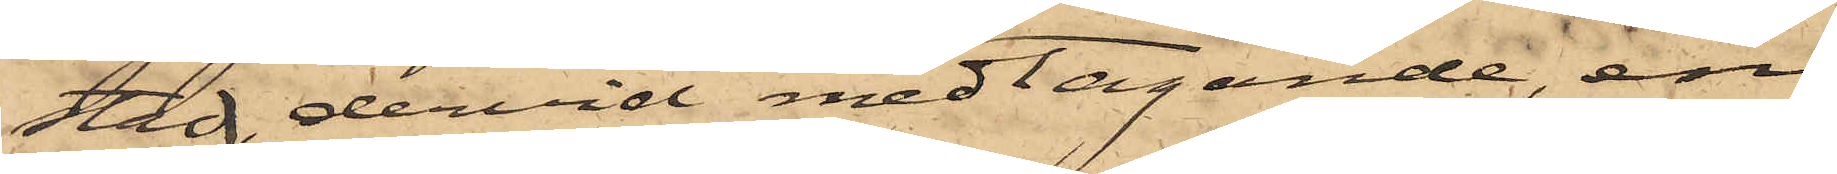stad, dervid medtagande, en
